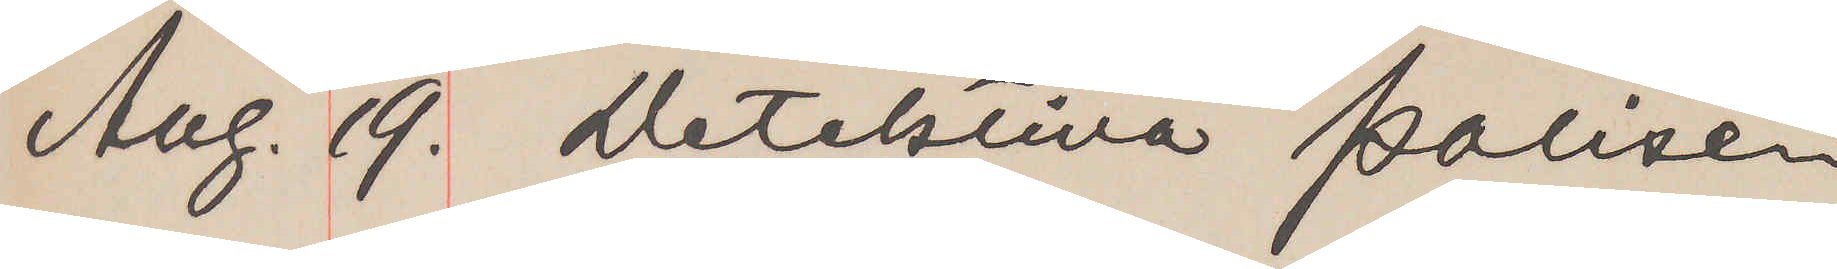Aug. 19. Detektiva polisen,
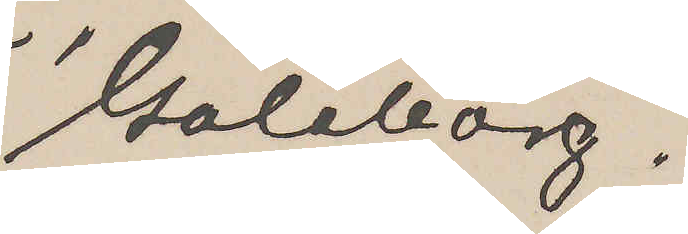Göteborg.
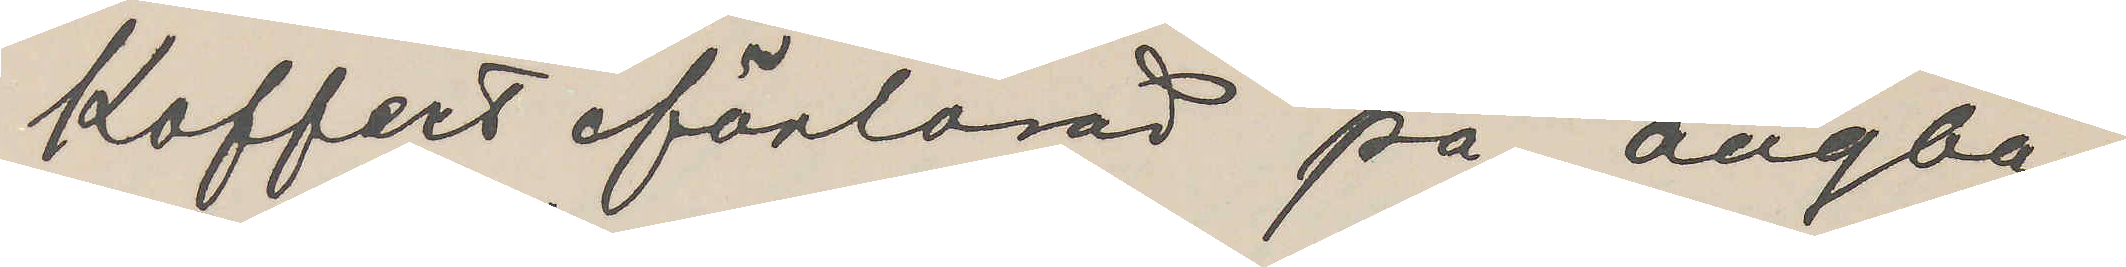Koffert förlorad på ångbå¬
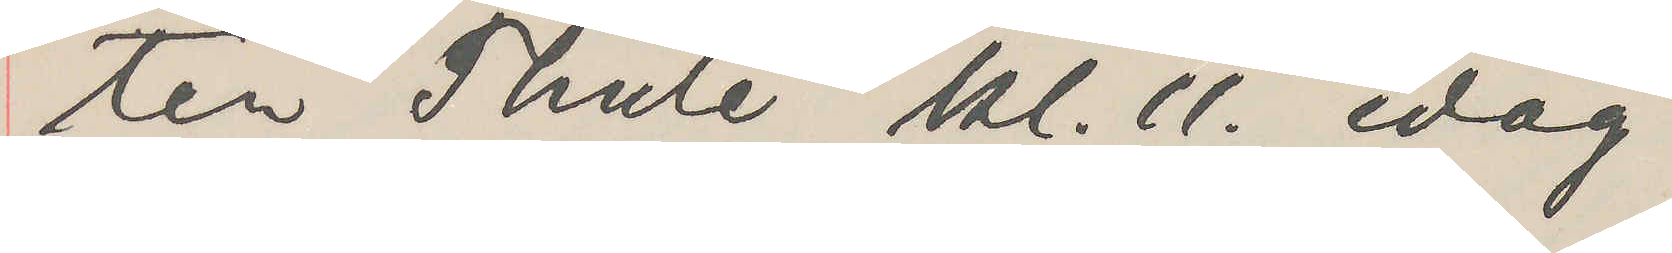ten Thule kl. 11. idag.
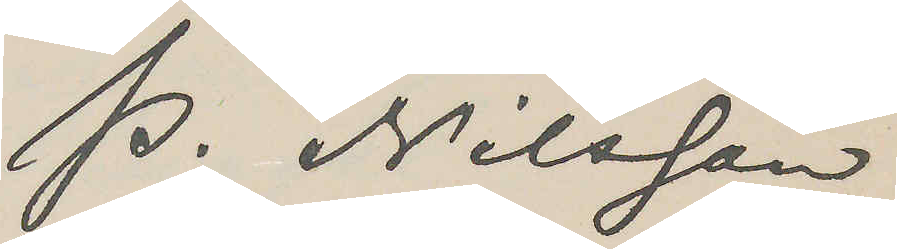P. Nilsson
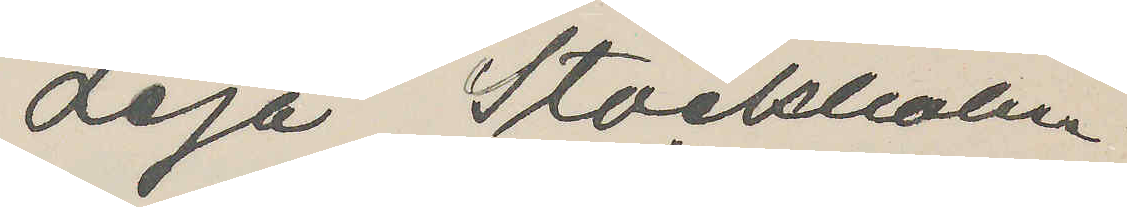Leja Stockholm
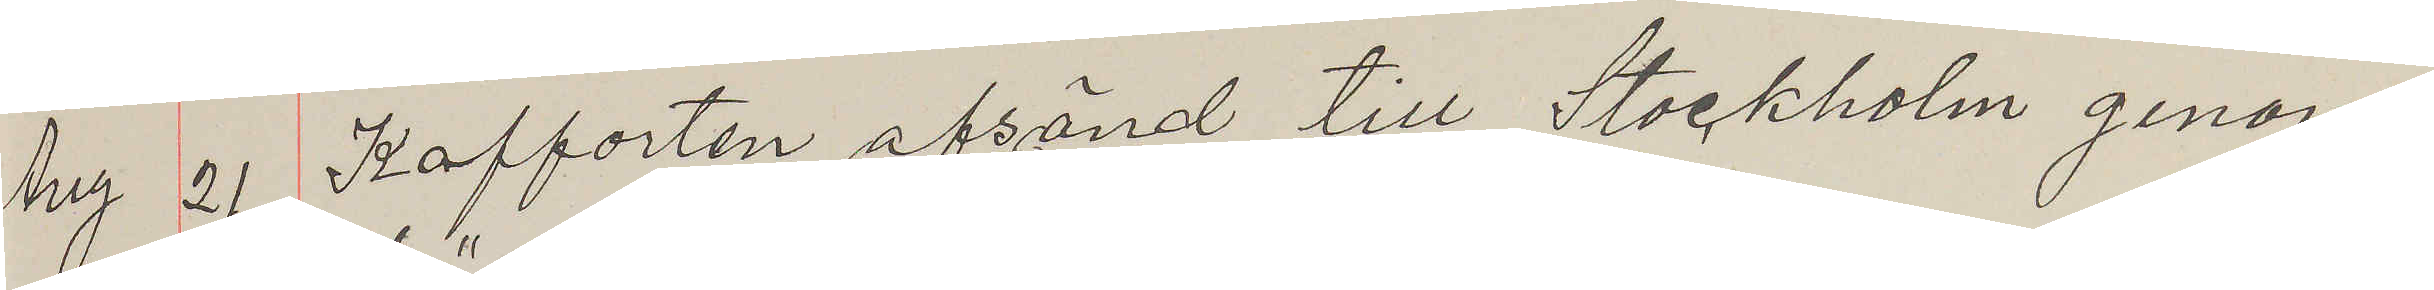Aug 21 Kofferten afsänd till Stockholm genom
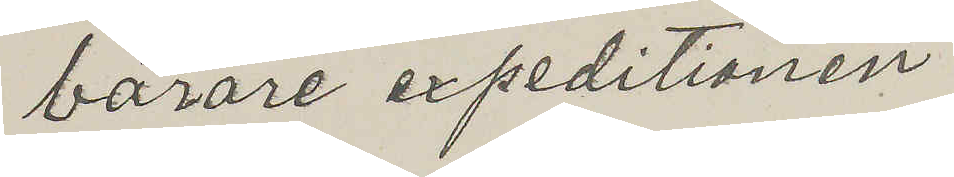bärare expeditionen
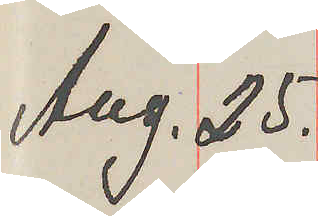Aug. 25.
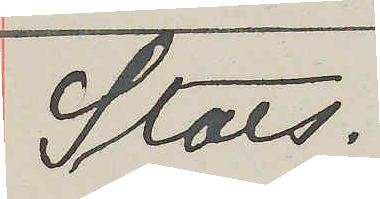Stats.
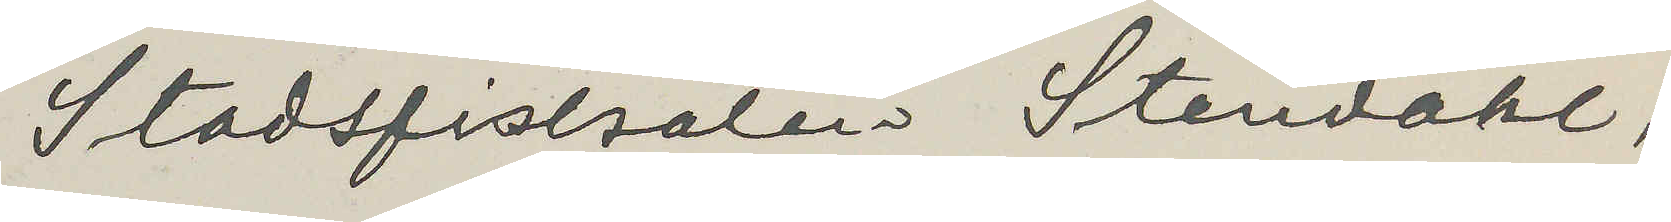Stadsfiskalen Stendahl,
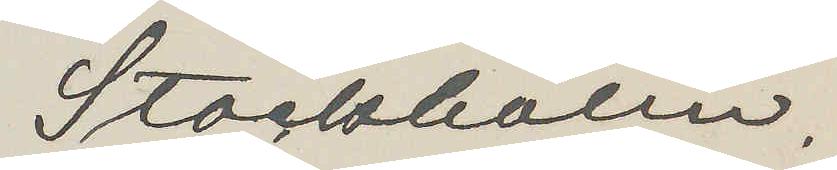Stockholm.
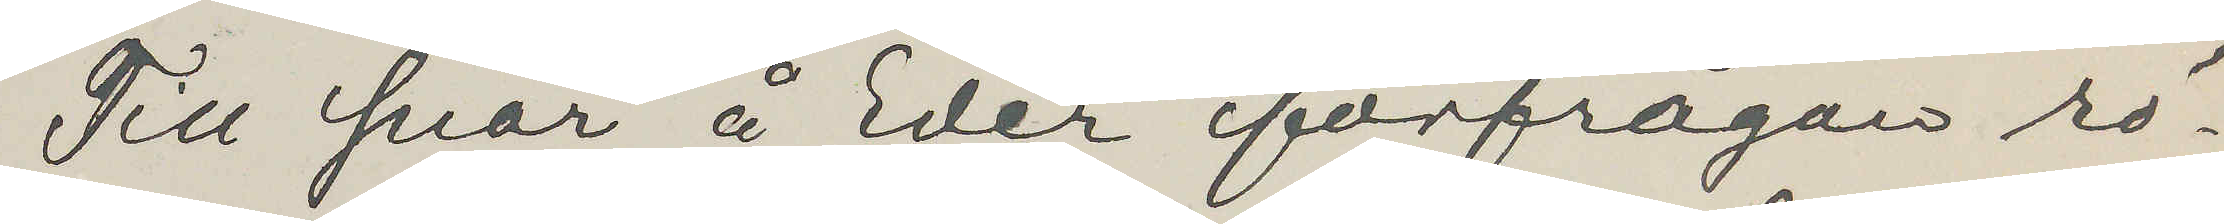Till svar å Eder förfrågan rö¬
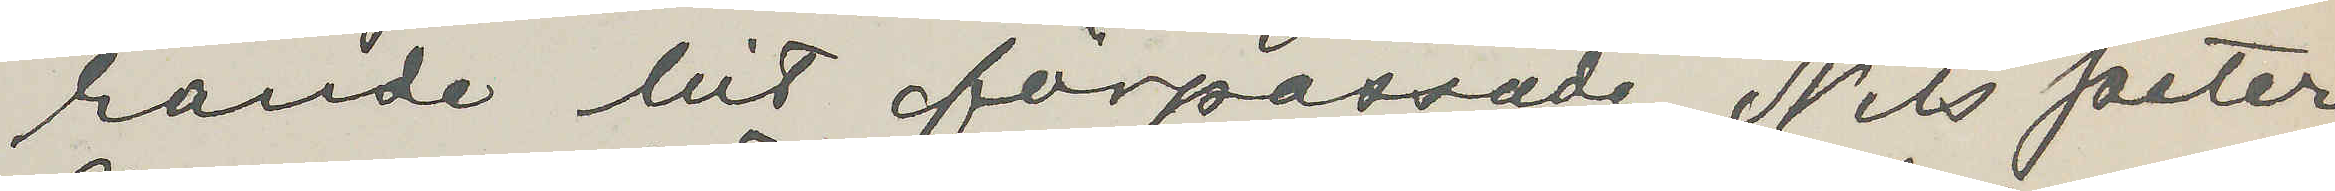rande hit förpassade Nils Peter
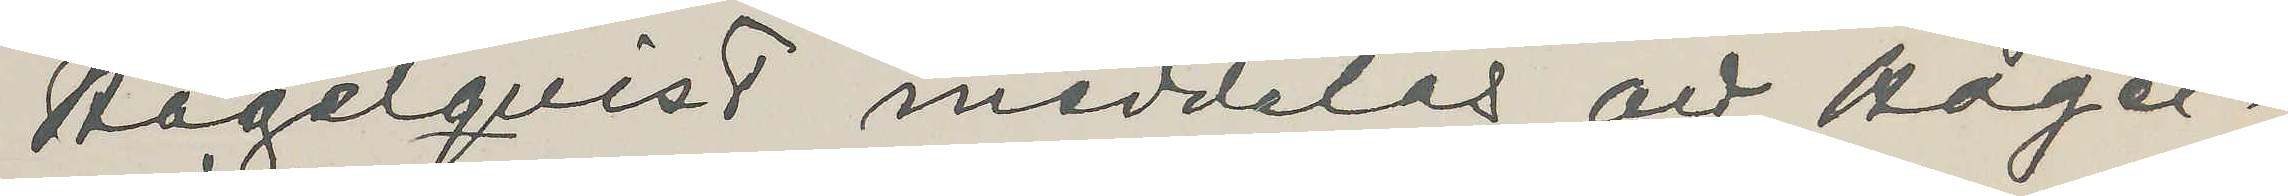Hagelqvist meddelas, att Hagel¬
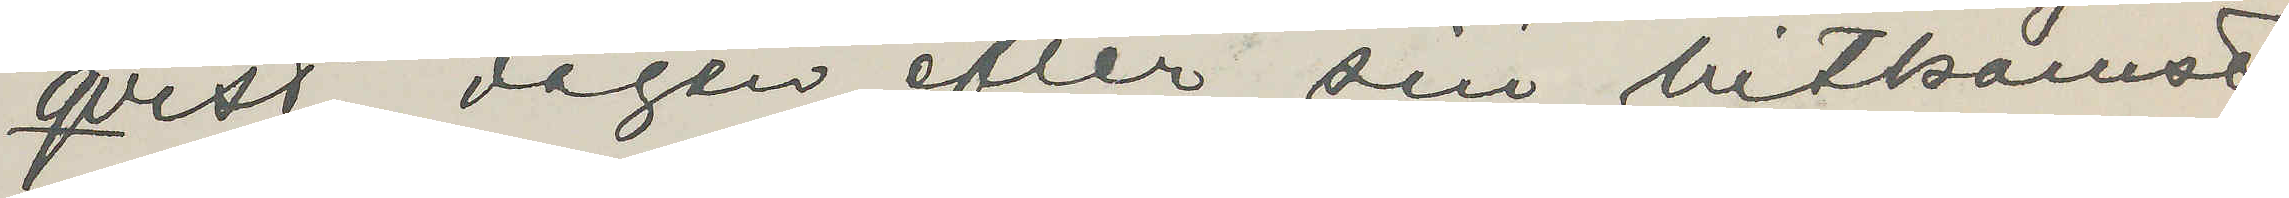qvist dagen efter sin hitkomst
